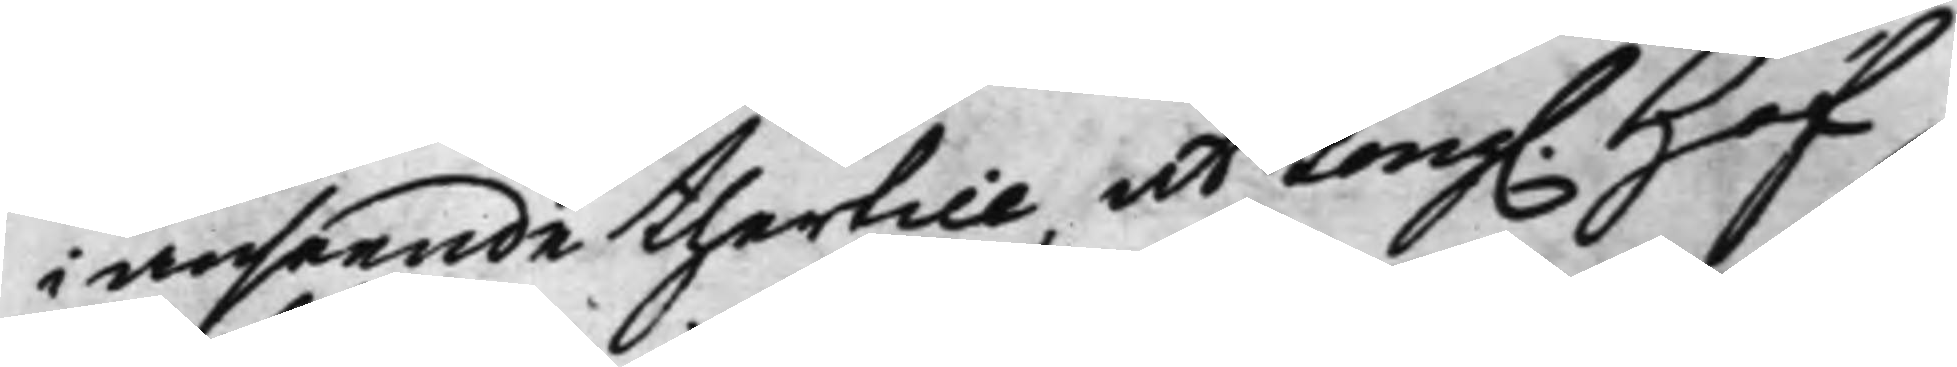i anseende thertill, at Kong. Hof¬ 
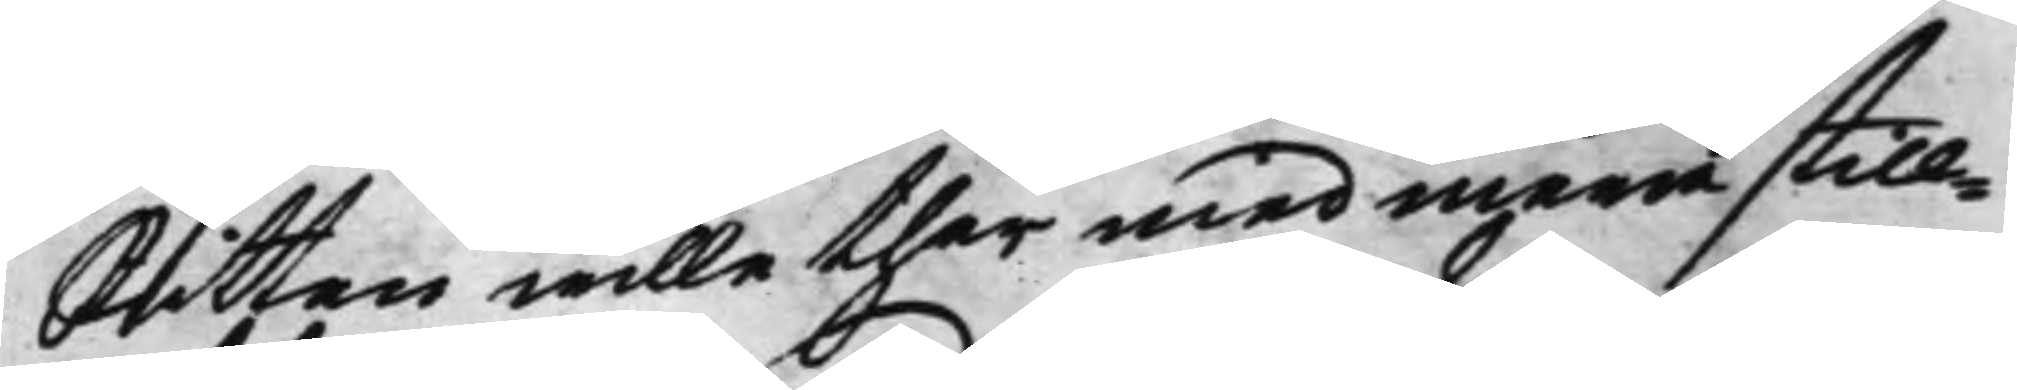Rätten wille ther med mera still¬
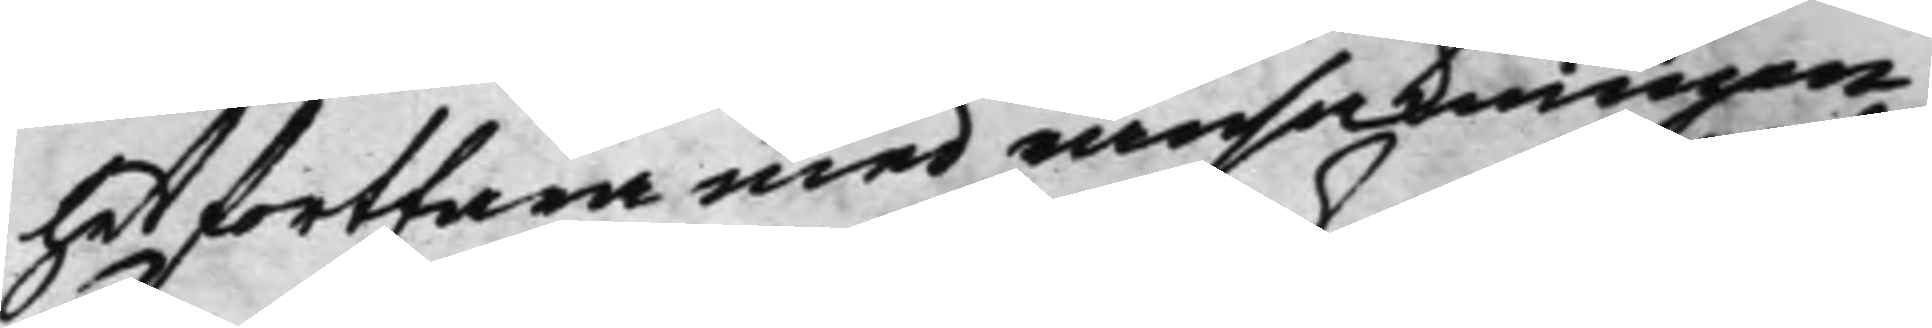het fortfara med ransakningen
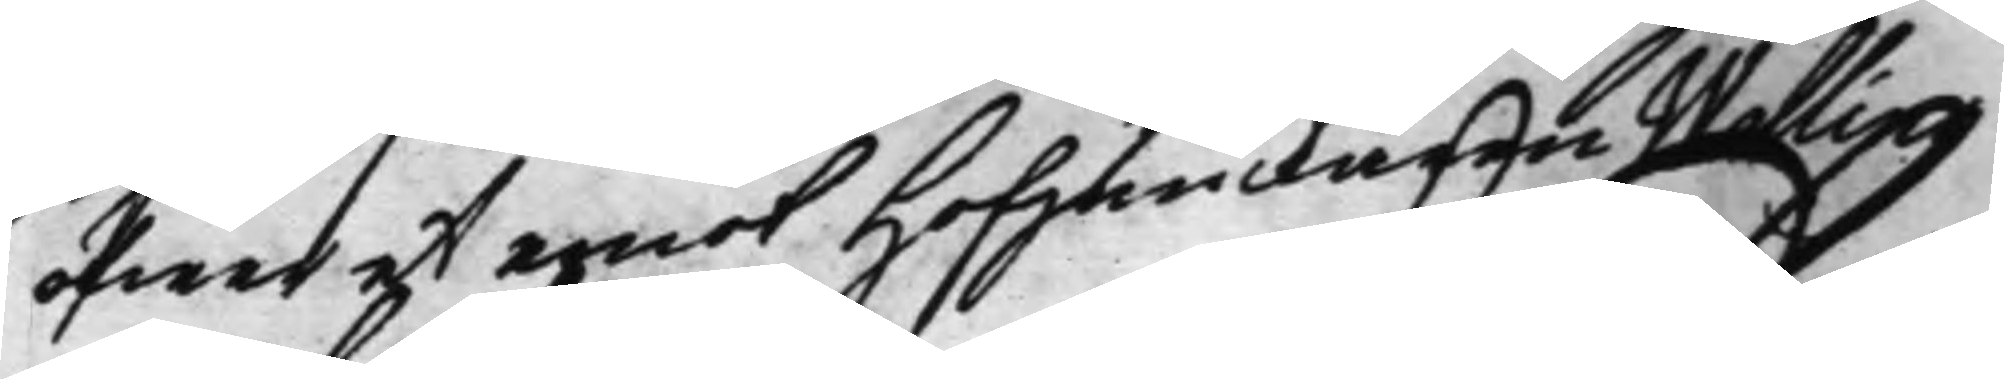öfwer et emot Hofjunckaren Wallin
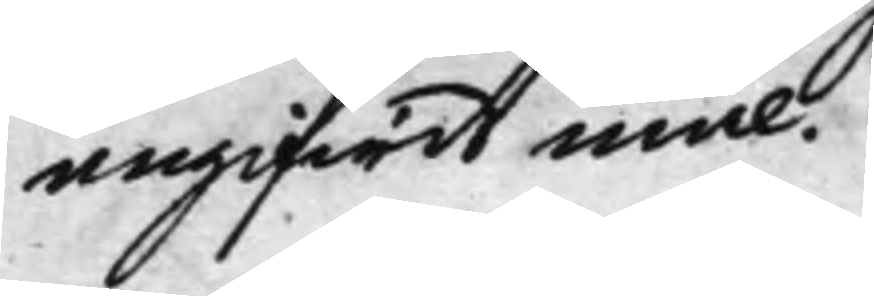angifwit mål.
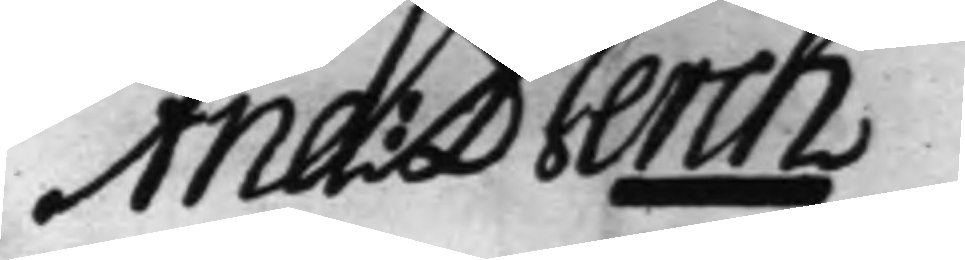And: Berch
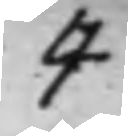4
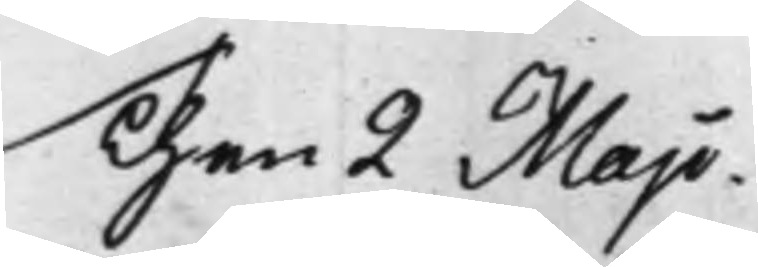Then 2 Maji.
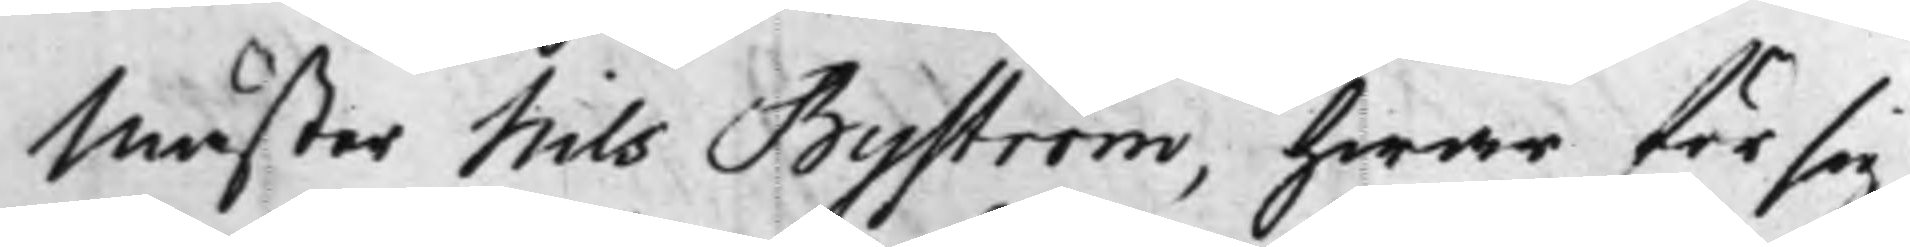Mäster Nils Byström, hwar för sig
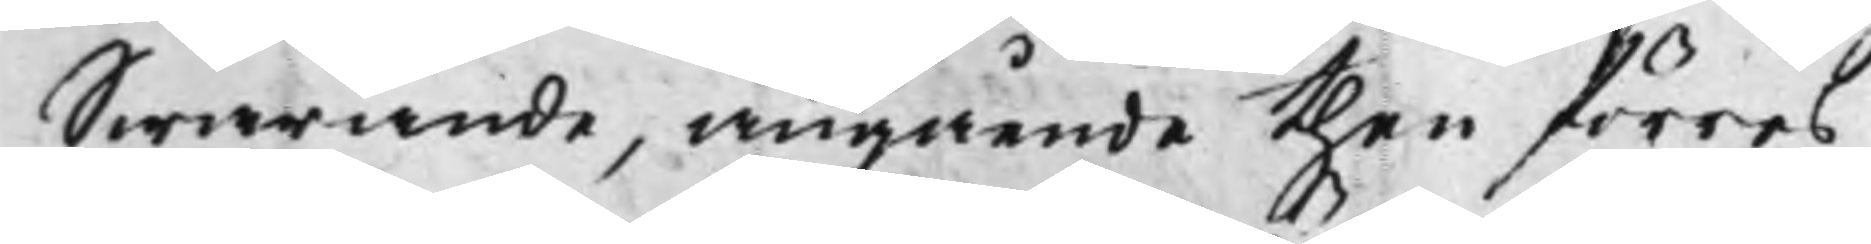Swarande, angående then förres
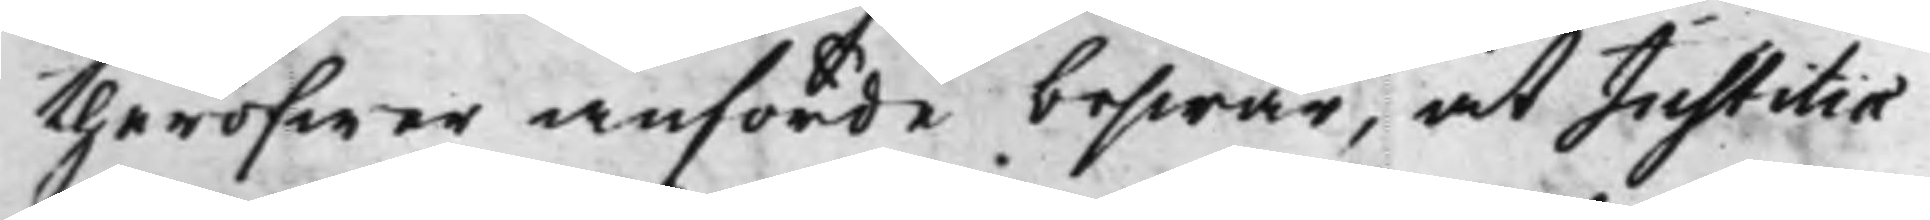theröfwer anförde beswär, at Justitiæ¬
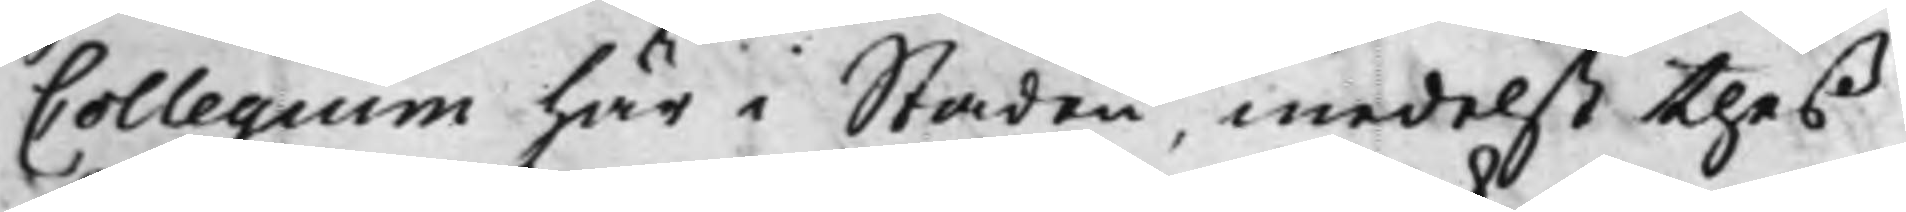Collegium här i Staden, medelst thes
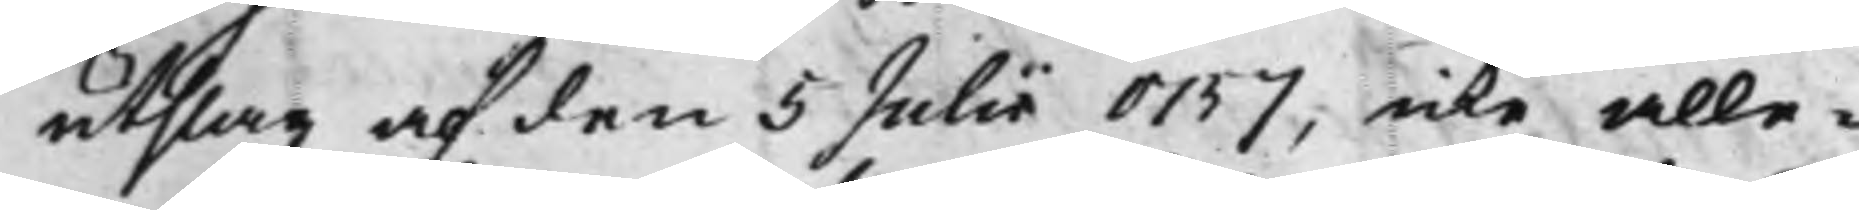utslag af den 5 Julii 1757, icke alle¬
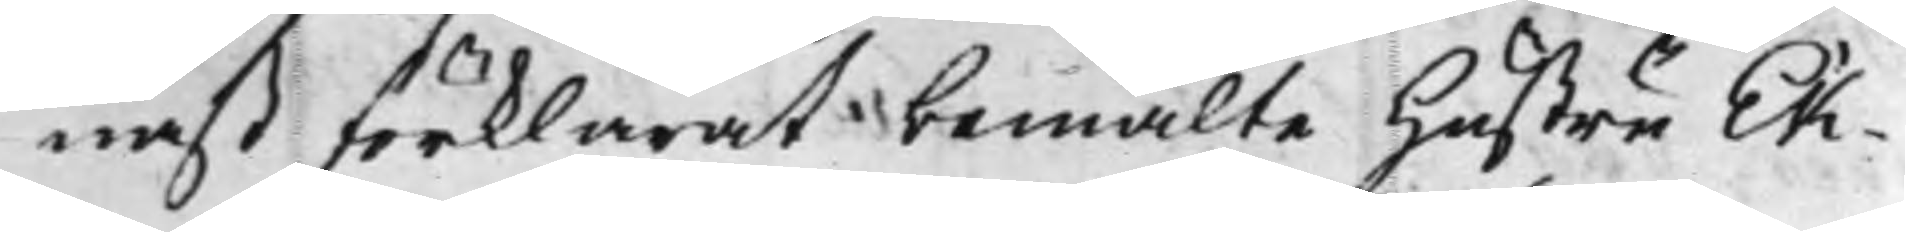nast förklarat bemälte Hustru Ek¬
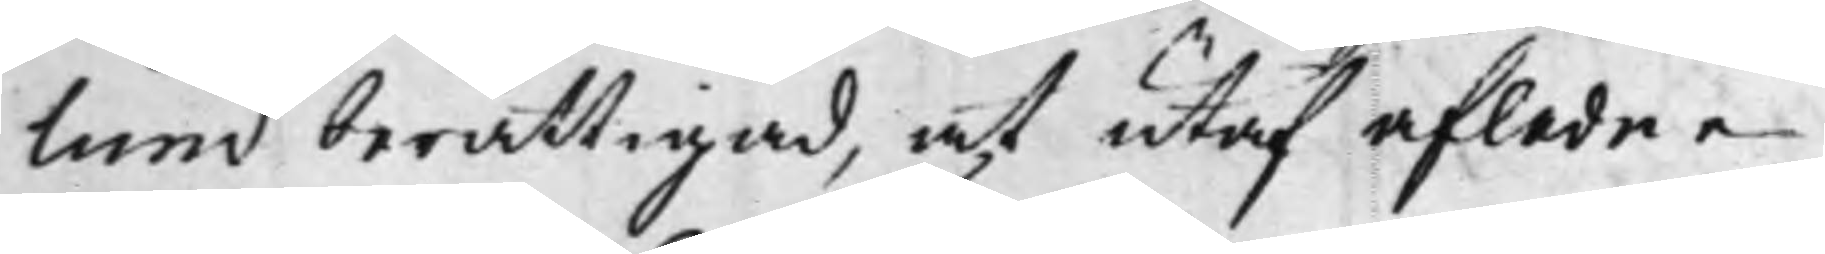lund berättigad, at utaf afledne
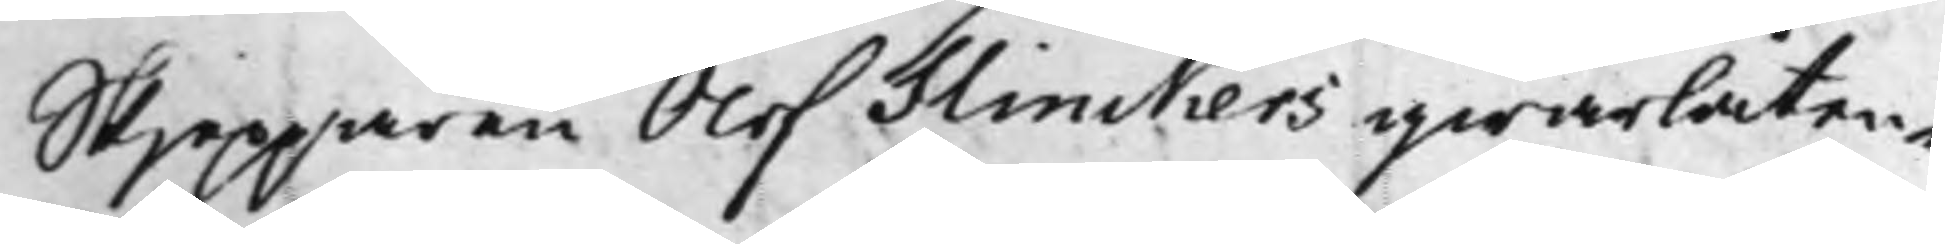Skjepparen Olof Flinckers qwarlåten¬
